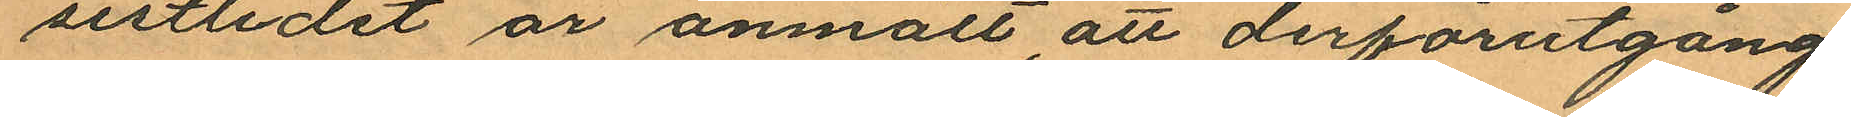sistlidet år anmält, att derförutgång¬
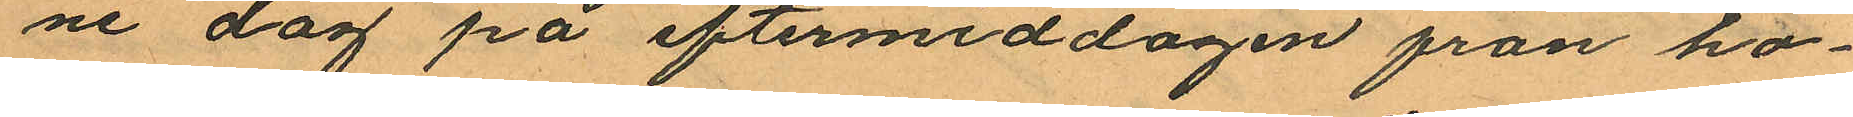ne dag på eftermiddagen fran ho¬
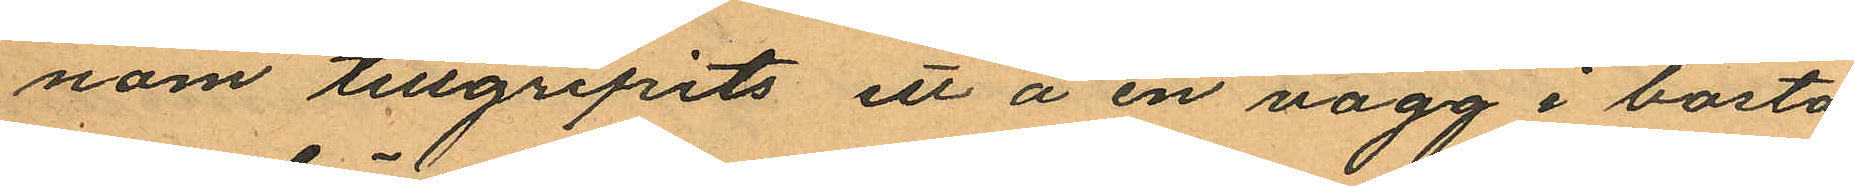nom tillgripits ett å en vägg i bosta¬
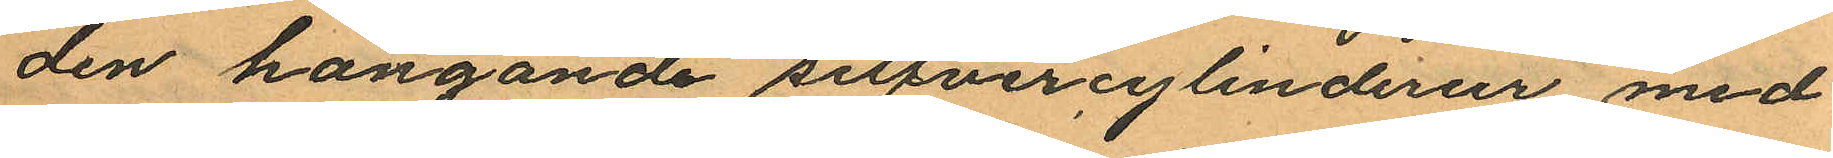den hängande silfvercylinderur med
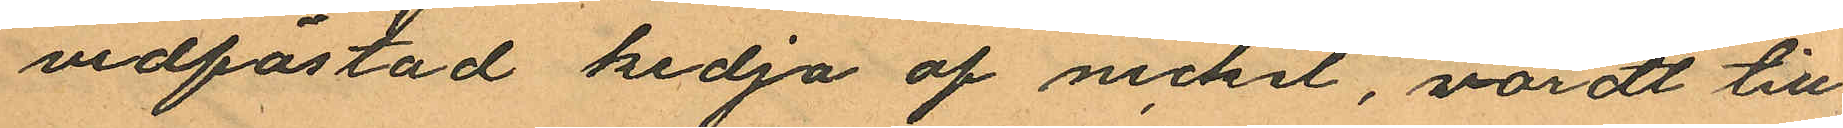vidfästad kedja af nickel, värdt till
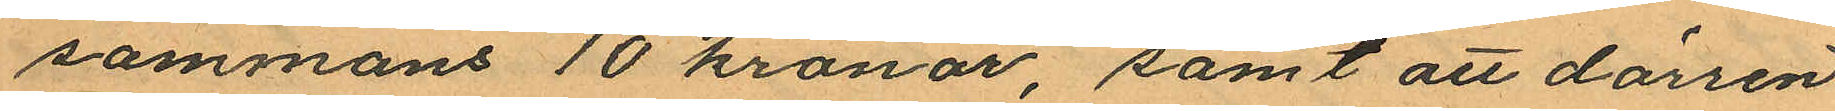sammans 10 kronor, samt att dörren
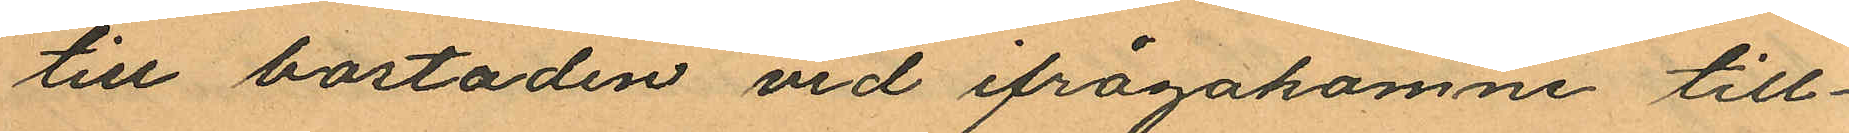till bostaden vid ifrågakomne till¬
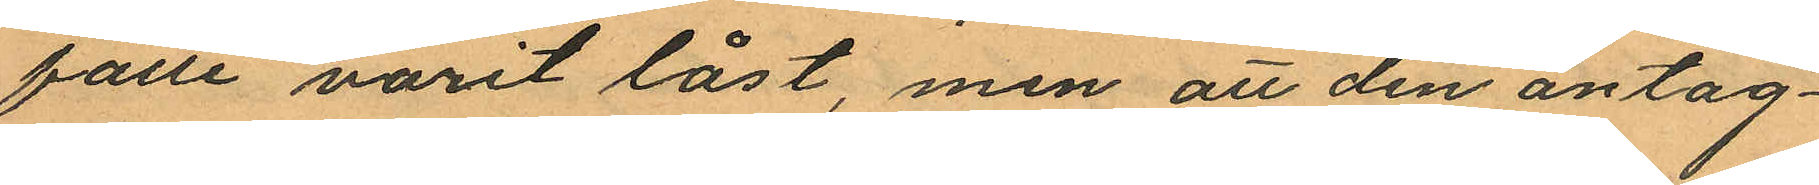fälle varit låst, men att den antag¬
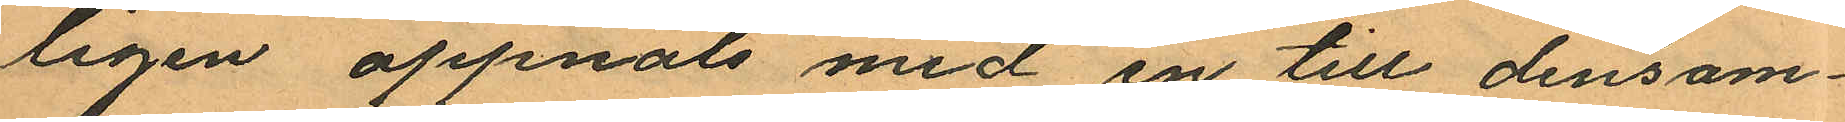ligen öppnats med en till densam¬
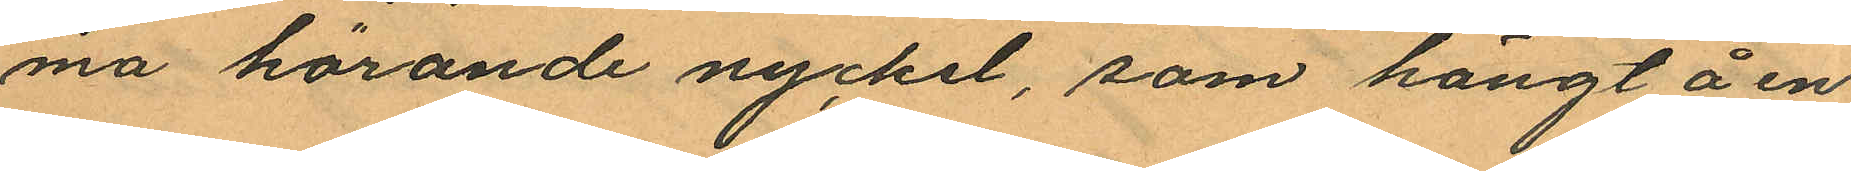ma hörande nyckel, som hängt å en
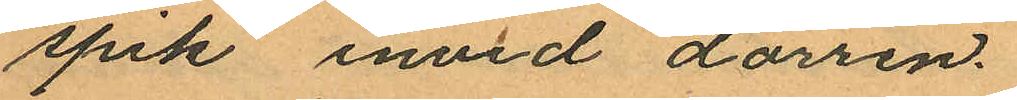spik invid dörren.
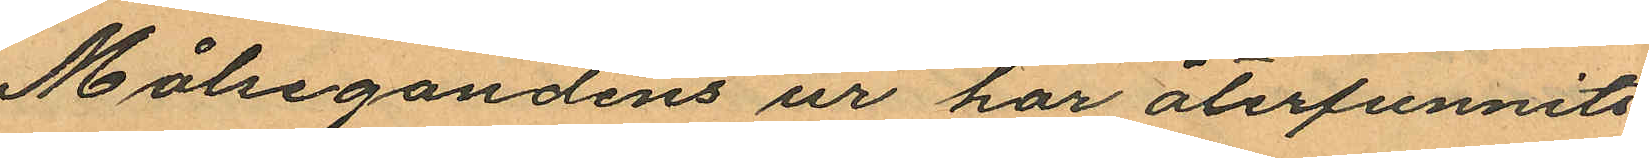Målsegandens ur har återfunnits
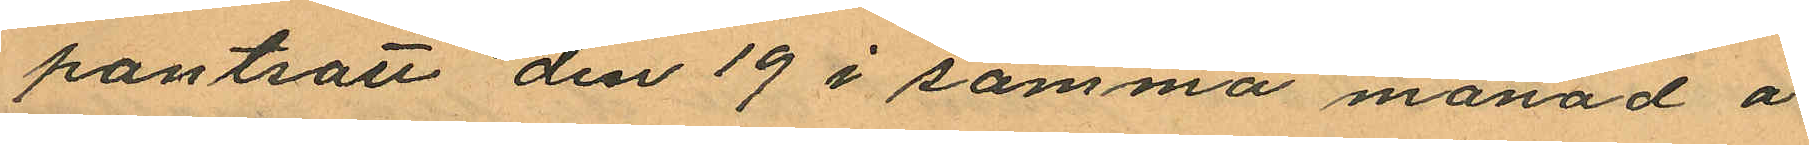pantsatt den 19 i samma manad å
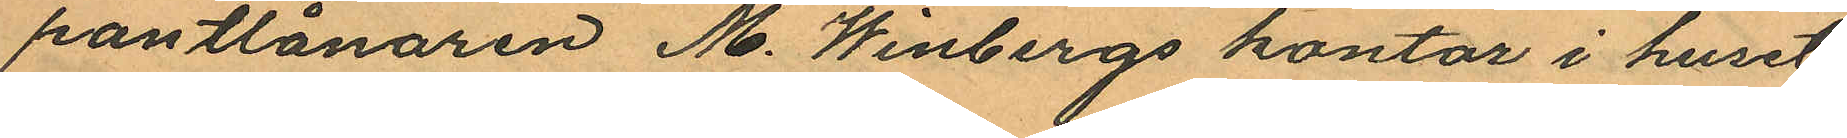pantlånaren M. Winbergs kontor i huset
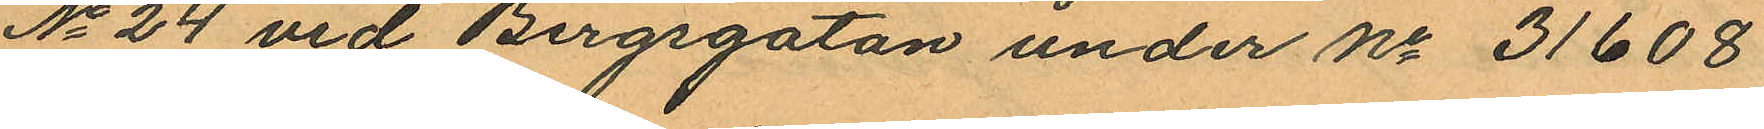No 24 vid Bergsgatan under No 31608
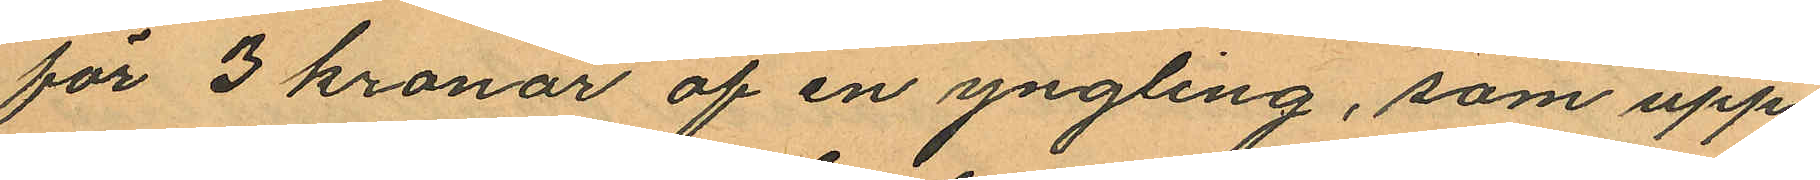för 3 kronor af en yngling, som upp¬
